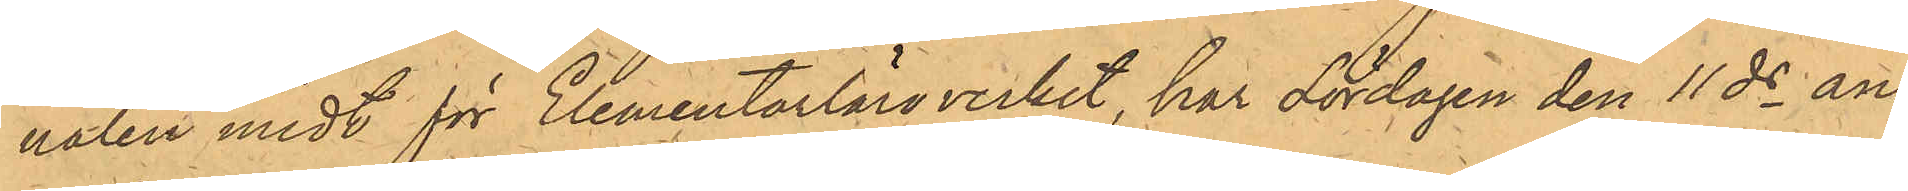nalen midt för Elementarläroverket, har Lördagen den 11 ds an¬
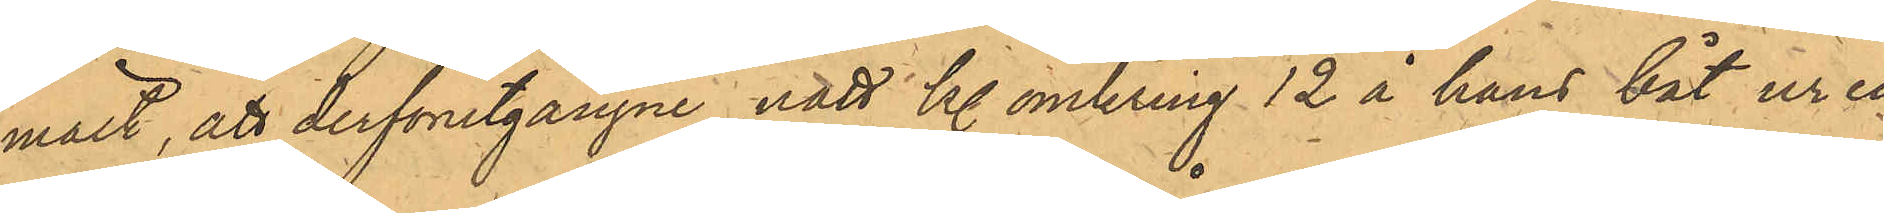mält, att derförutgångne natt kl. omkring 12 å hans båt ur en
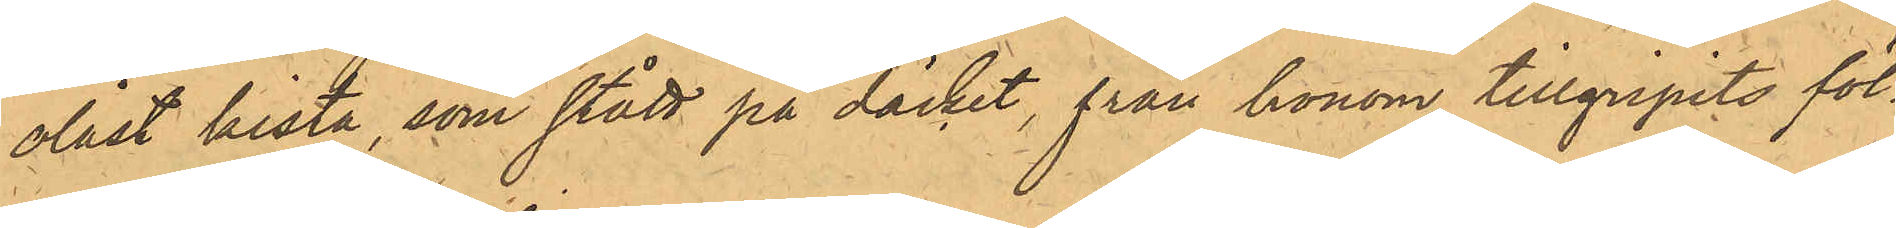olåst kista, som stått på däcket, från honom tillgripits föl¬
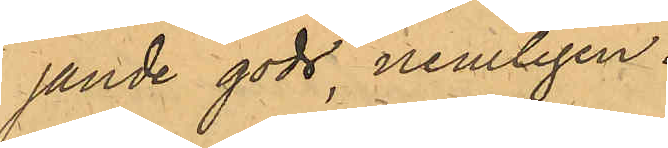jande gods, nemligen:
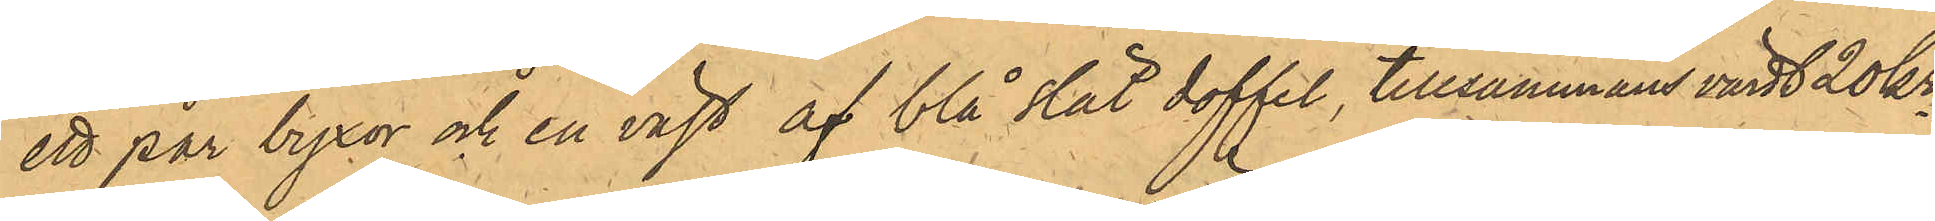ett par byxor och en väst af blå slät doffel, tillsammans värdt 20kr.
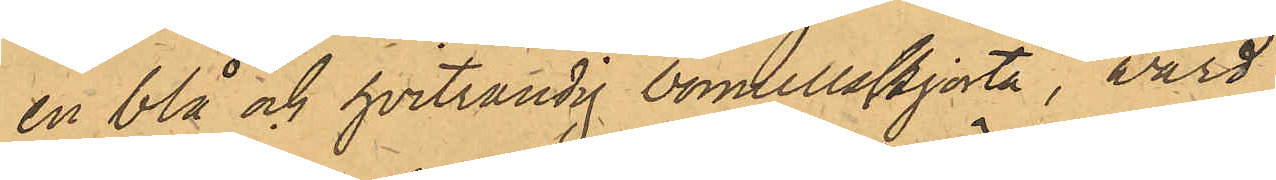en blå och hvitrandig bomullsskjorta värd
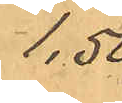1,50
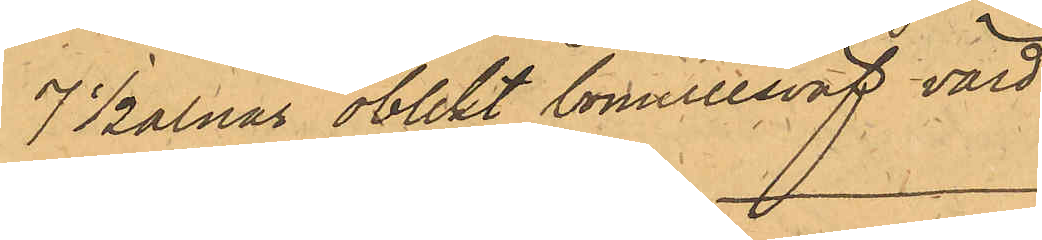7 1/2 alnar oblekt bomullsväf, värd
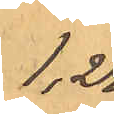1,25.
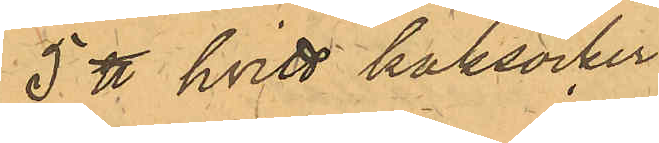5 ℔ hvitt kaksocker
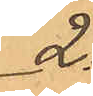2:
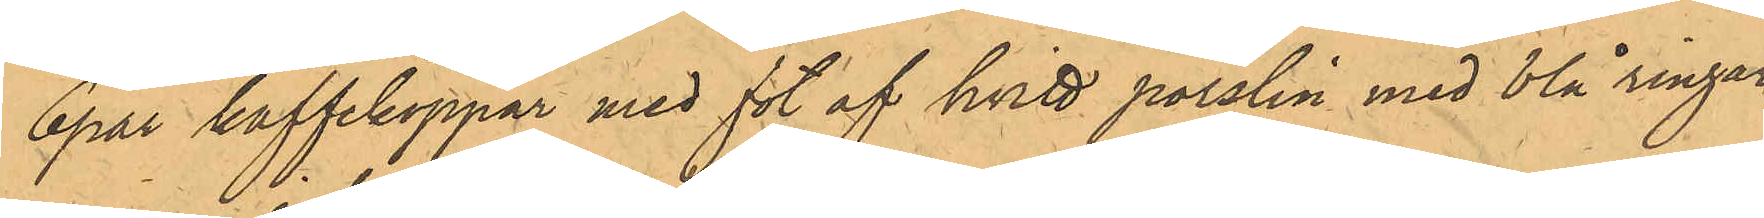6 par kaffekoppar med fot af hvitt porslin med blå ringar
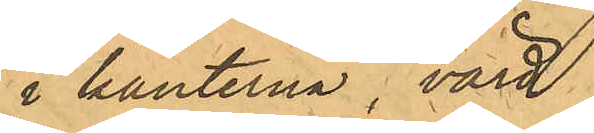i kanterna, värd
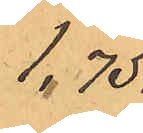1,75.
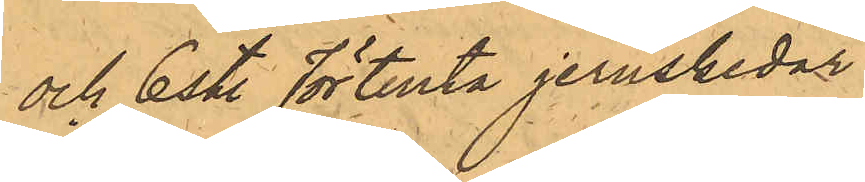och 6 st. förtenta jernskedor
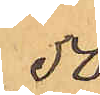50.
